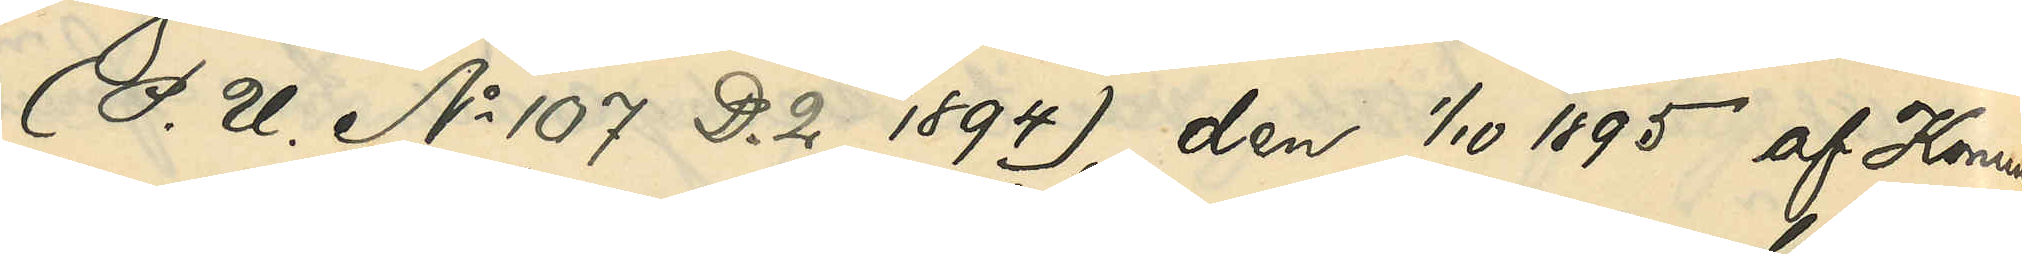(P. U. No 107 D. 2 1894), den 1/10 1895 af Konun¬
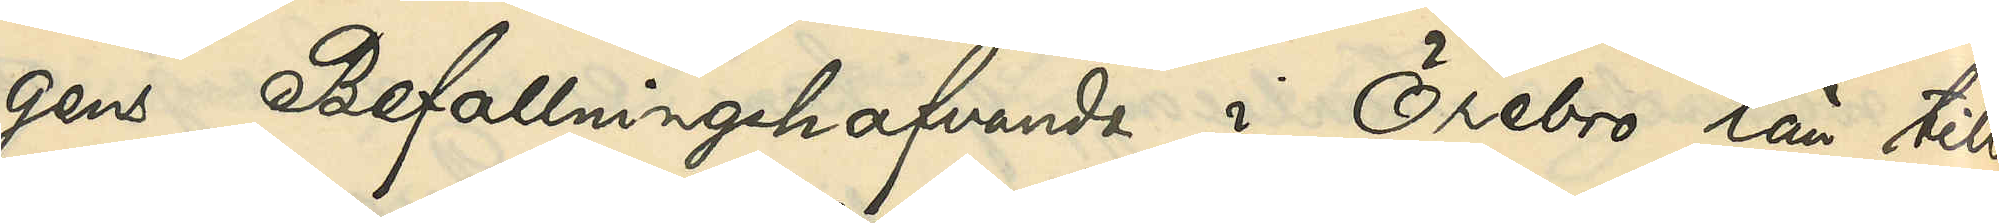gens Befallningshafvande i Örebro län till
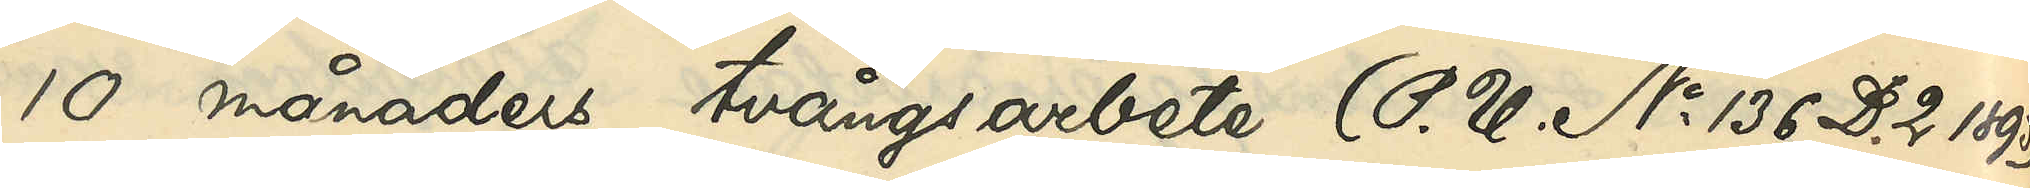10 månaders tvångsarbete (P. U. No 136 D. 2 1895)
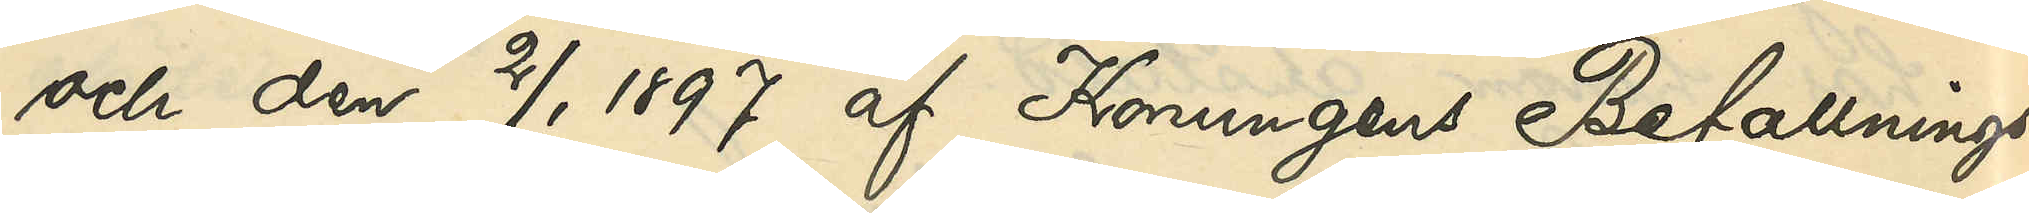och den 2/1 1897 af Konungen Befallnings¬
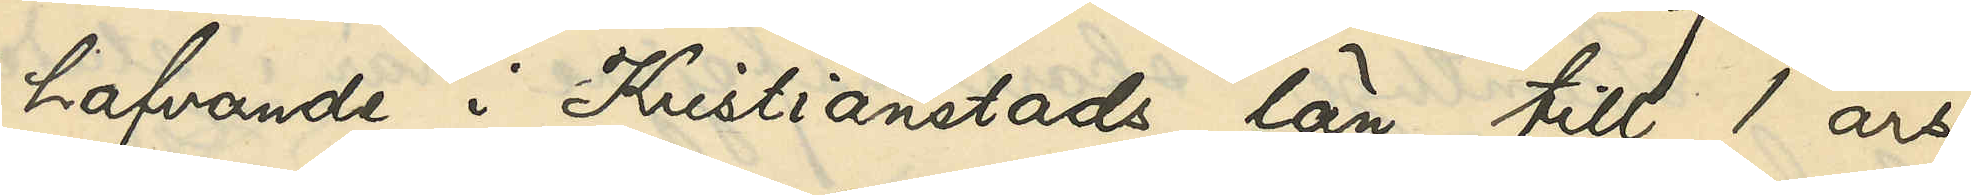hafvande i Kristianstads län till 1 års
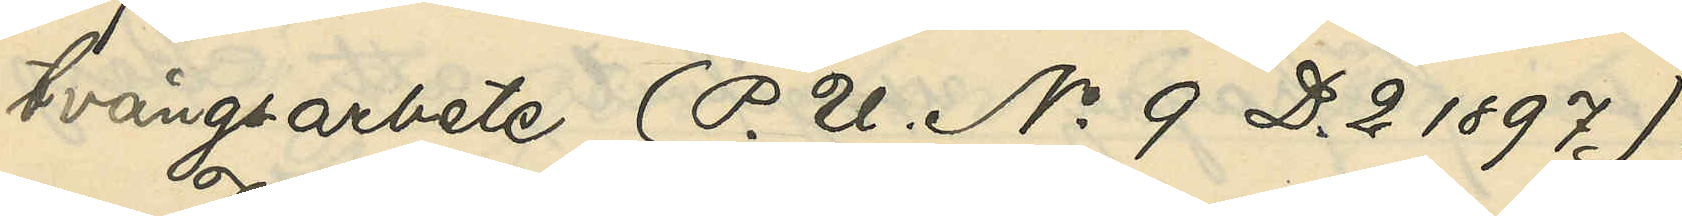tvångsarbete (P. U. No 9 D. 2 1897).
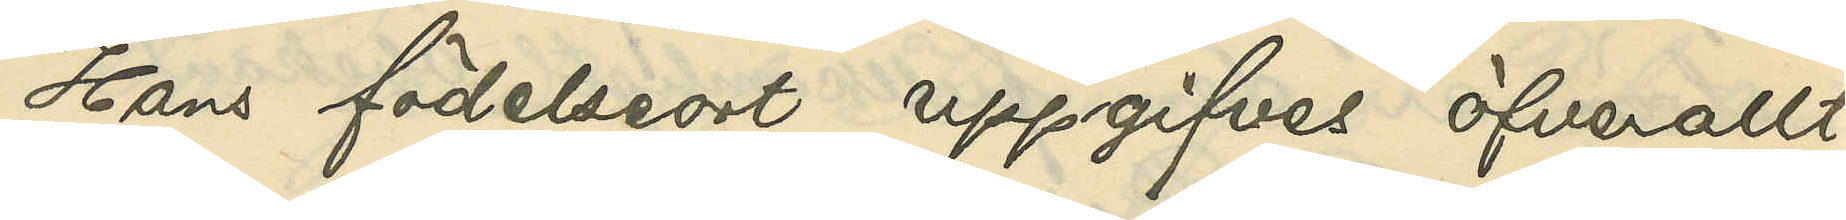Hans födelseort uppgifves öfverallt
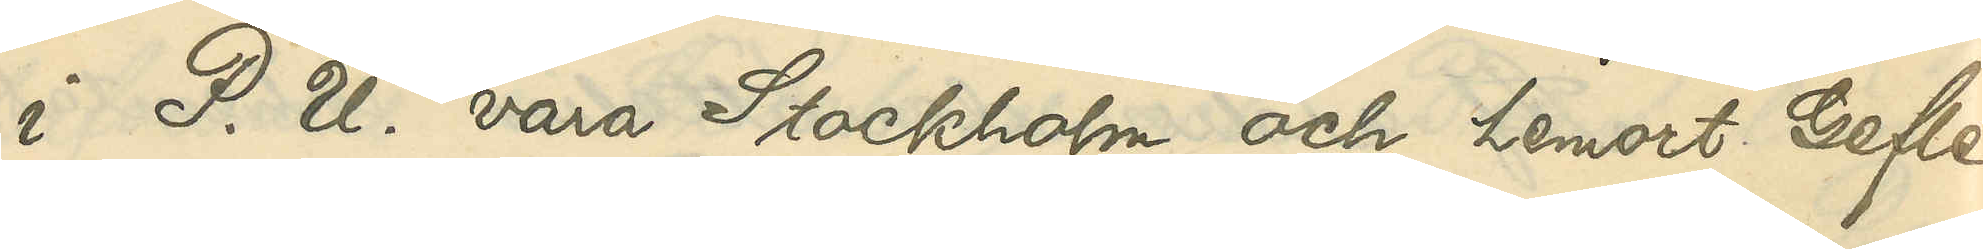i P. U. vara Stockholm och hemort Gefle.
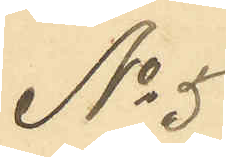No 5
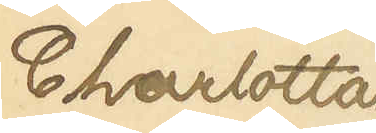Charlotta
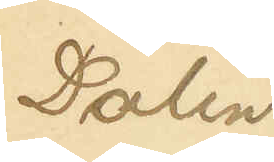Dalin
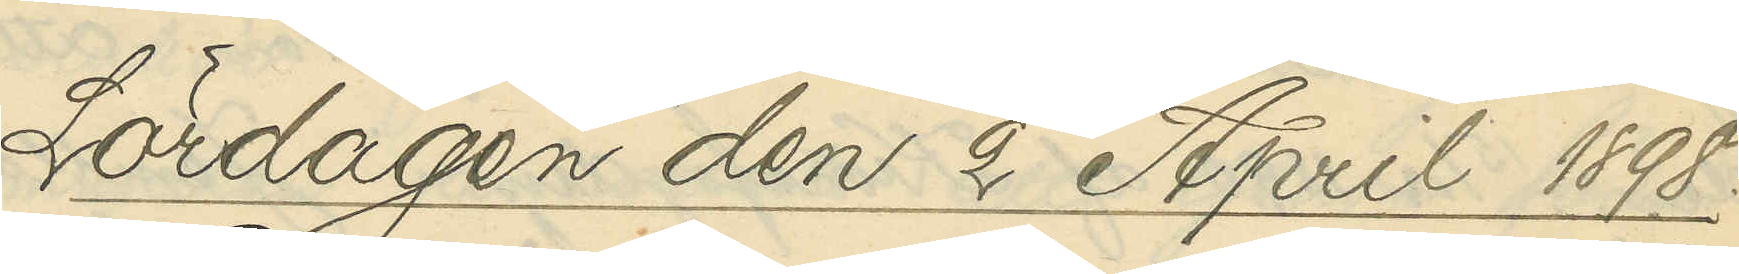Lördagen den 2 April 1898.
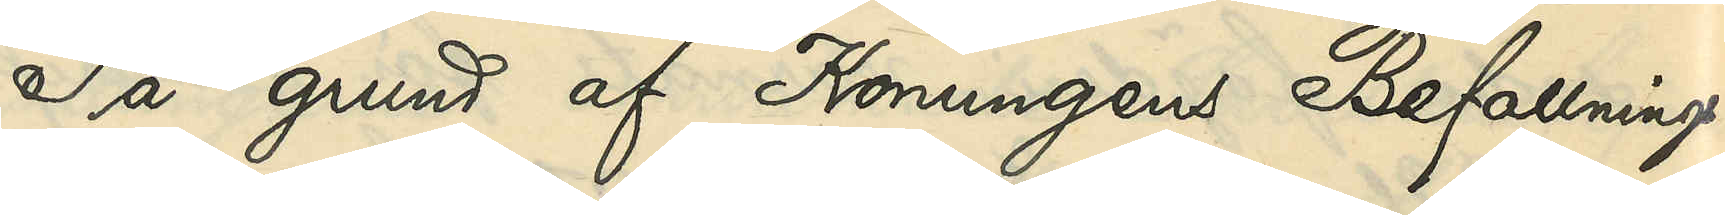På grund af Konungens Befallnings¬
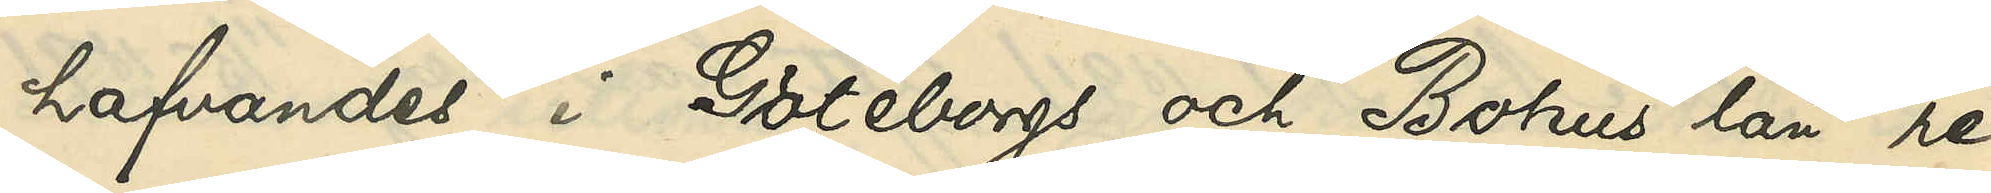hafvandes i Göteborgs och Bohus län re¬
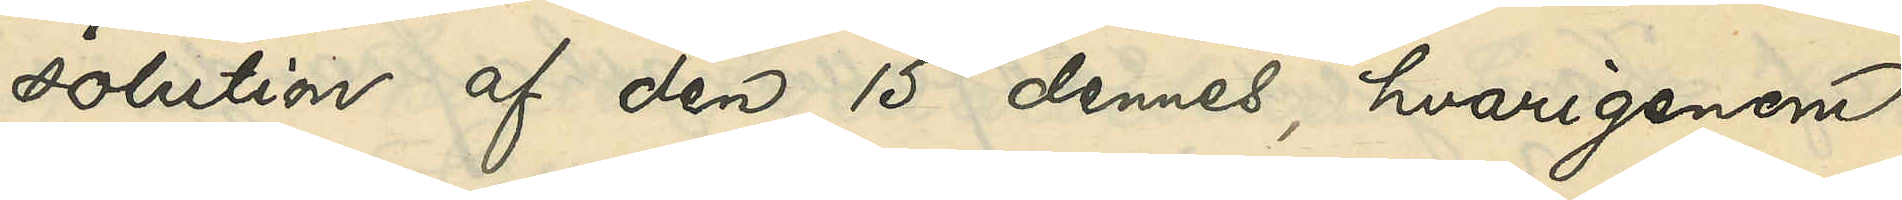solution af den 15 dennes, hvarigenom
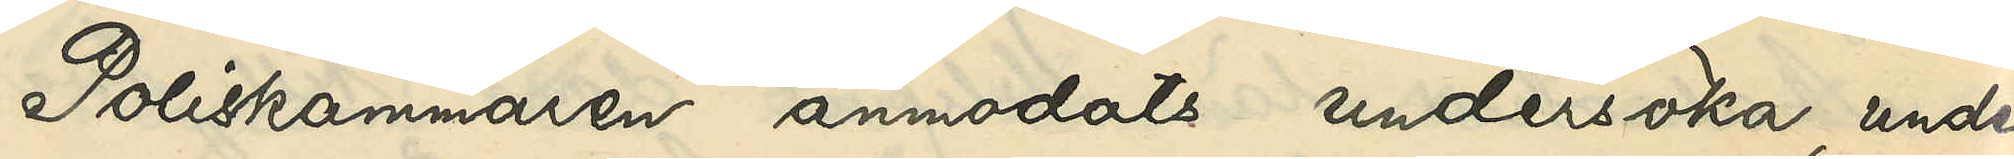Poliskammaren anmodats undersöka, under
